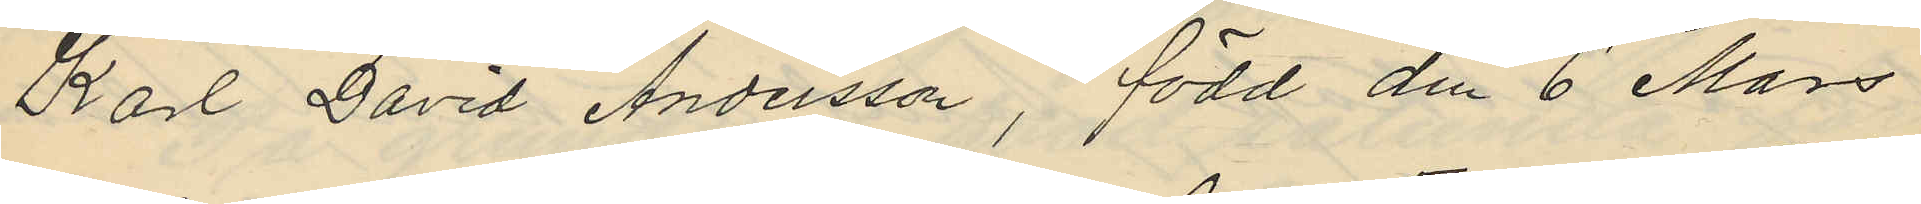Karl David Andersson, född den 6 Mars
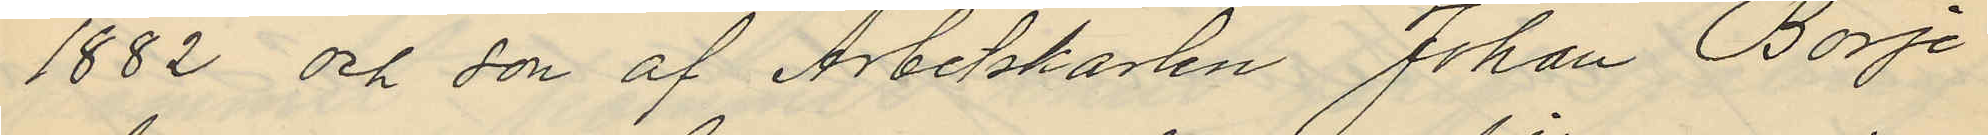1882 och son af Arbetskarlen Johan Börje
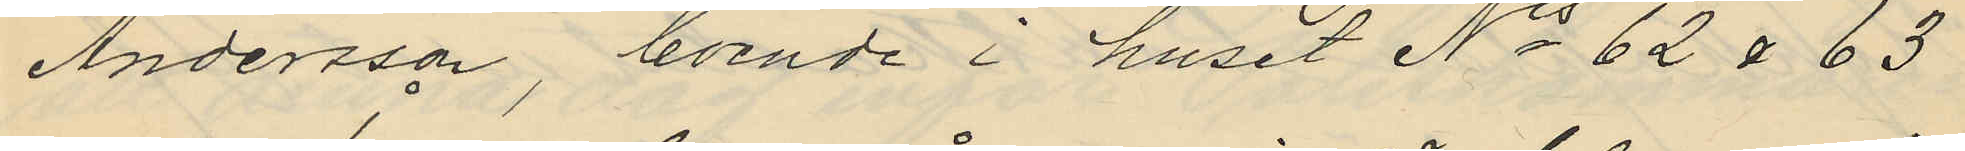Andersson, boende i huset No 62 & 63
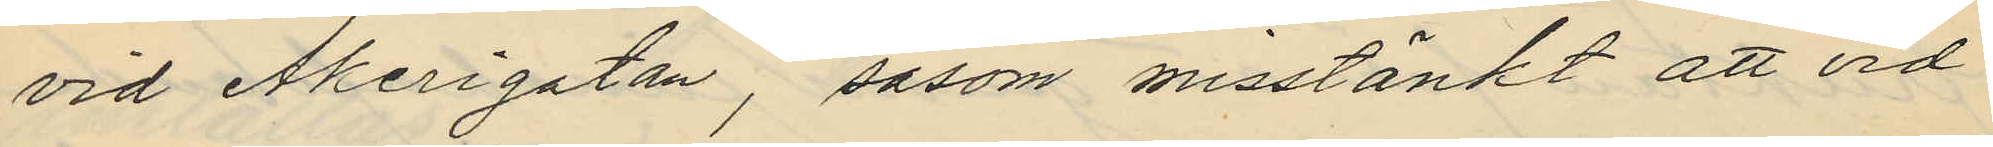vid Åkerigatan, såsom misstänkt att vid
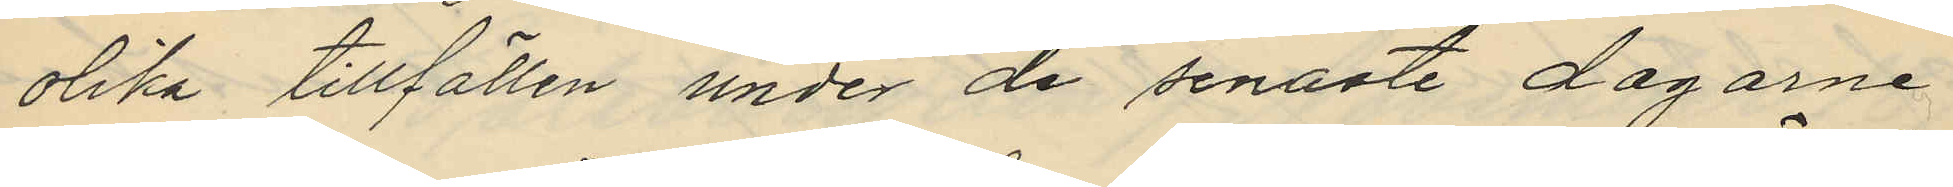olika tillfällen under de senaste dagarne
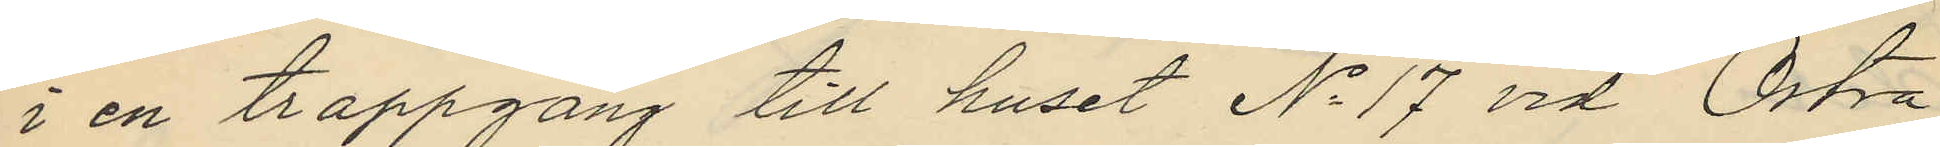i en trappgång till huset No 17 vid Östra
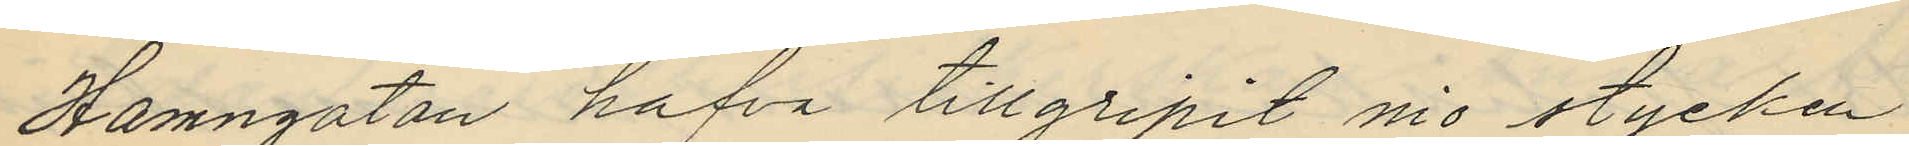Hamngatan hafva tillgripit nio stycken
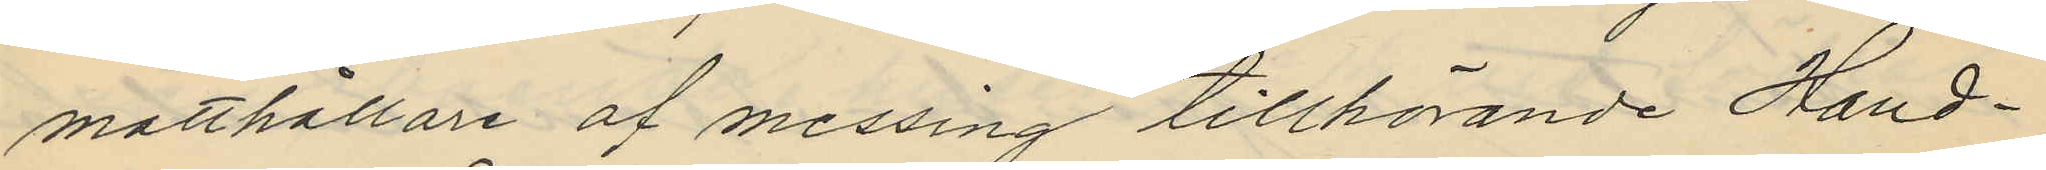matthållare af messing tillhörande Hand¬
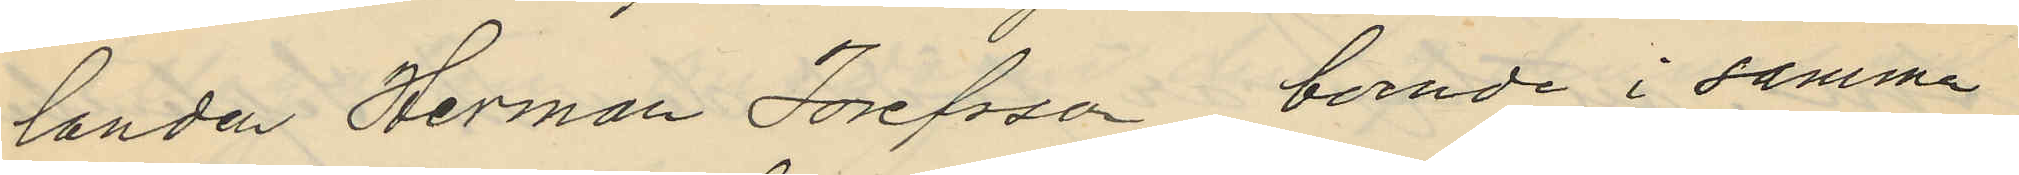landen Herman Josefsson, boende i samma
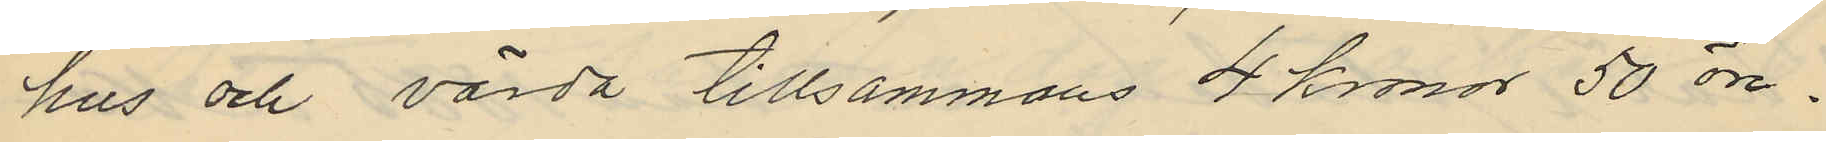hus och värda tillsammans 4 Kronor 50 öre.
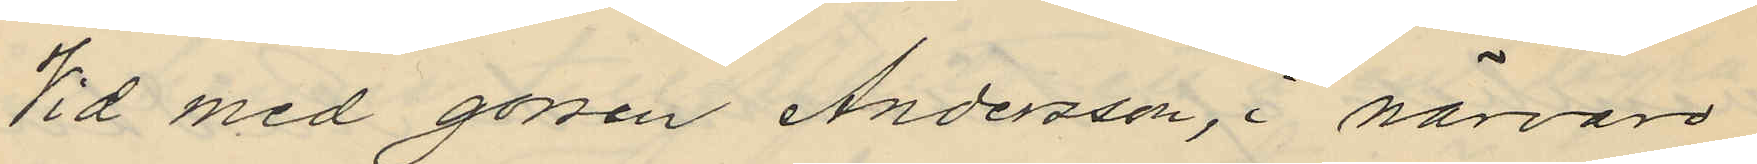Vid med gossen Andersson, i närvaro
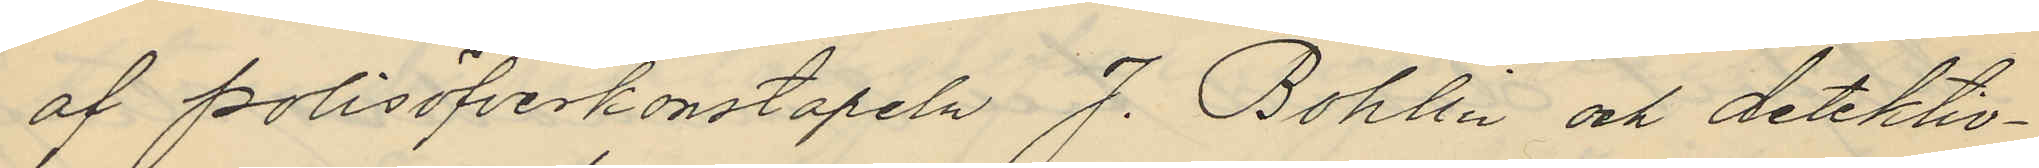af polisöfverkonstapeln J. Bohlin och detektiv¬
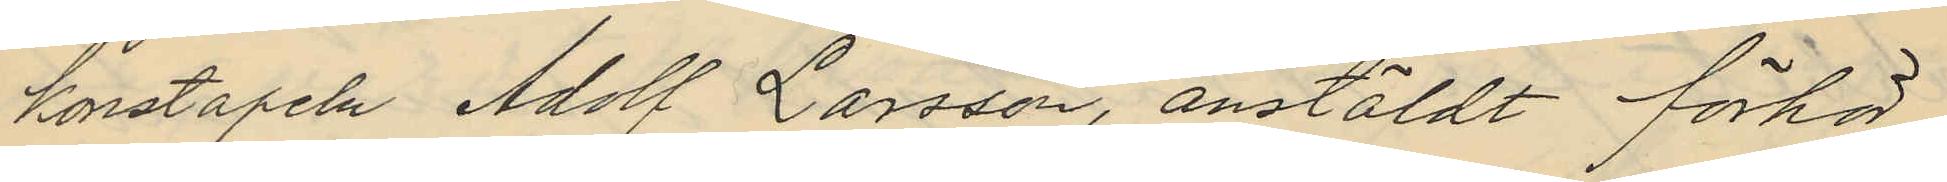konstapeln Adolf Larsson, anstäldt förhör
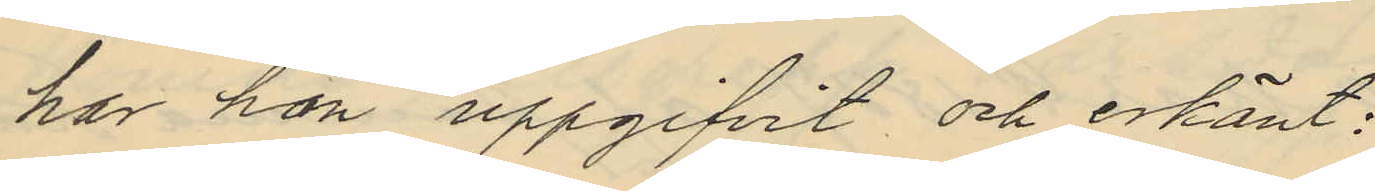har han uppgifvit och erkänt:
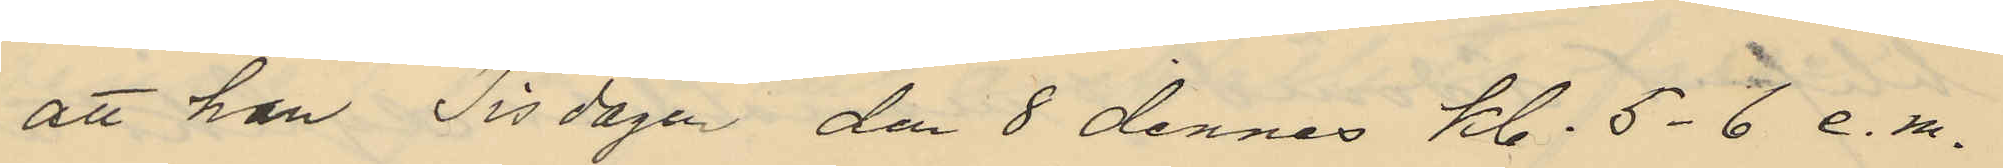att han Tisdagen den 8 dennes kl. 5-6 e.m.
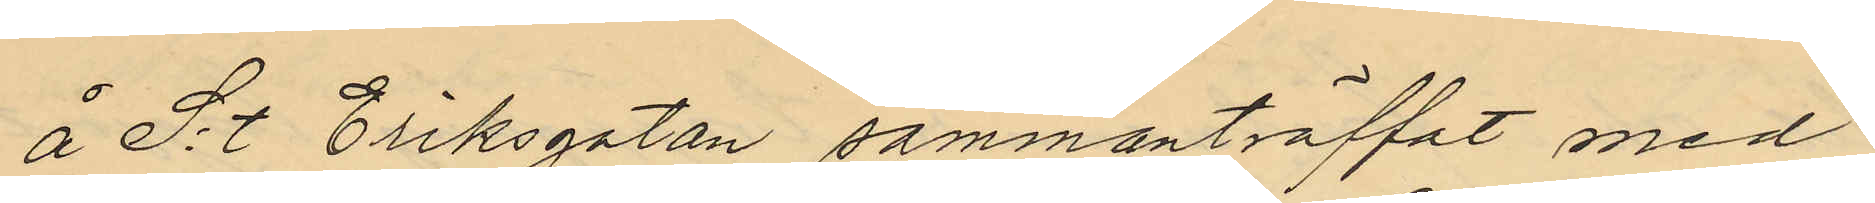å S:t Eriksgatan sammanträffat med
